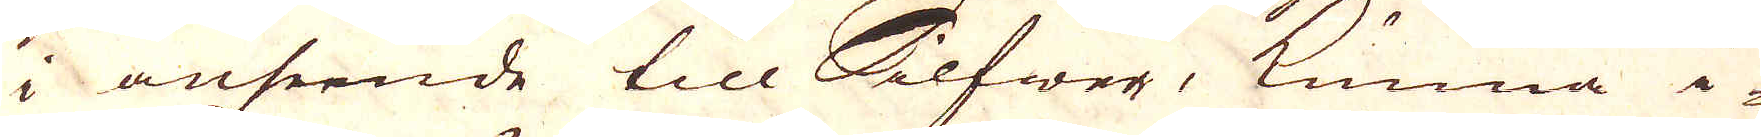i anseende till Silfwer, kunna i-
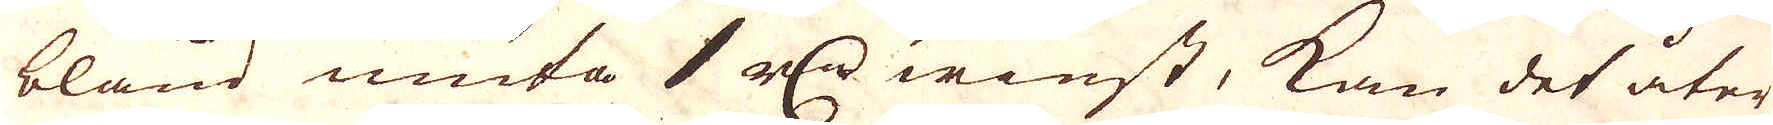bland niuta 1 r:dr winst, kan det åter
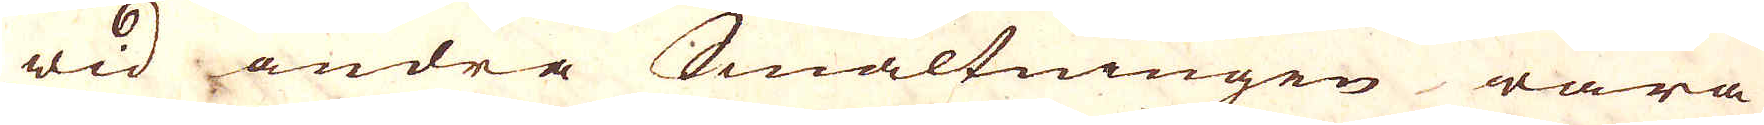wid andra Smältningen wara
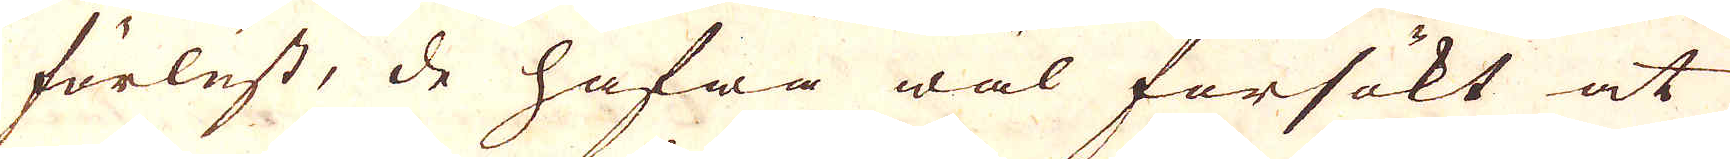förlust, de hafwa wäl försökt at
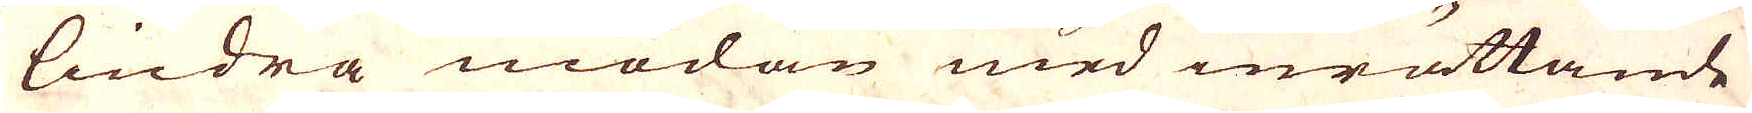lindra mödan med inrättande
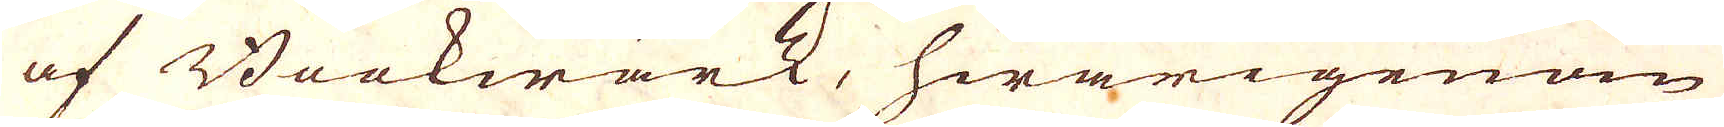af Beckwärk, hwarigenom
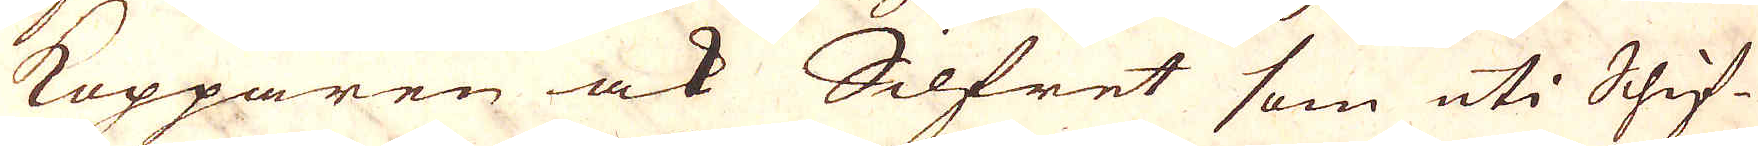Kopparen ock Silfret som uti Shif-
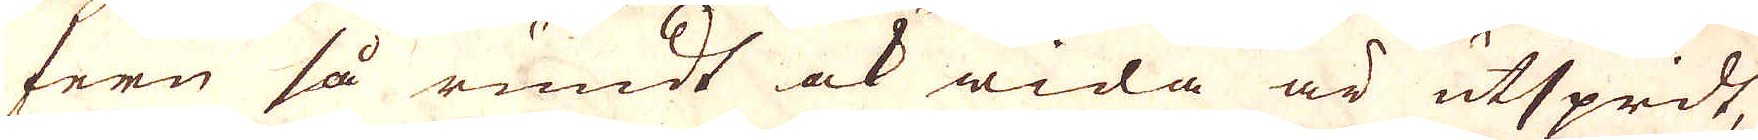fern så rundt ock wida är utspridt,
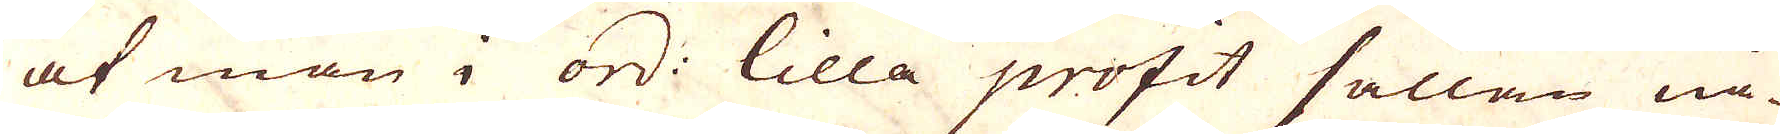at man i ord: lilla profit sällan nå-
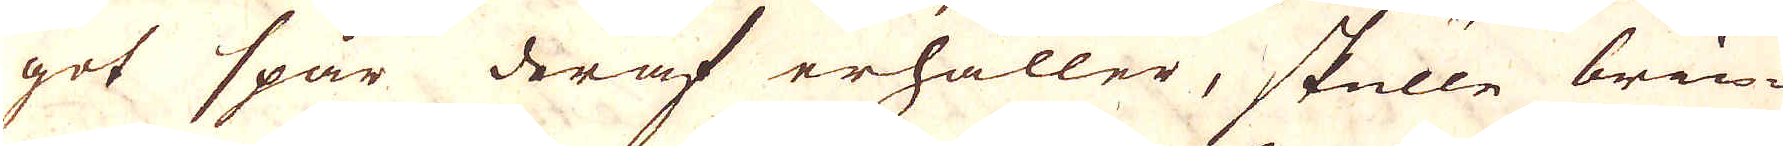got spår deraf erhåller, skulle brin-
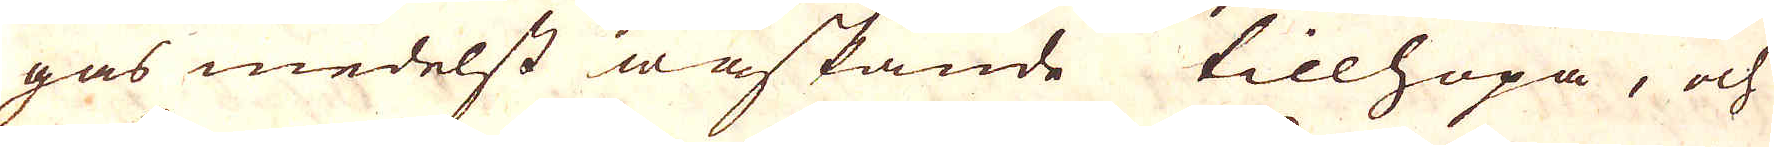gas medelst wåskande tillhopa, och
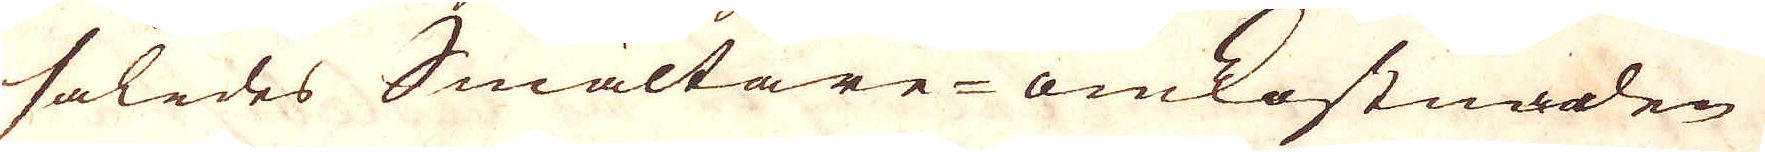således Smältare-omkostnoden
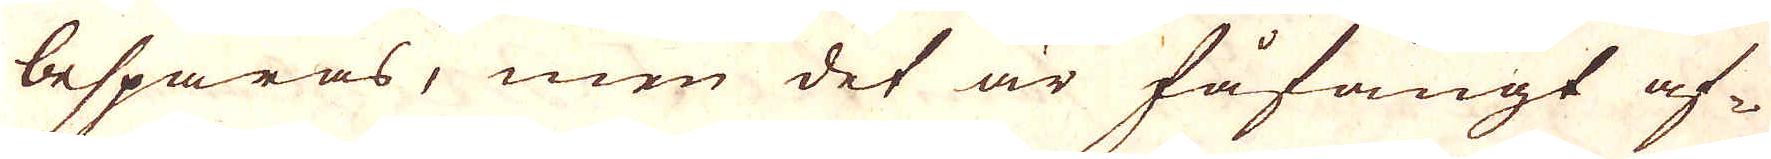besparas, men det är fåfängt af-
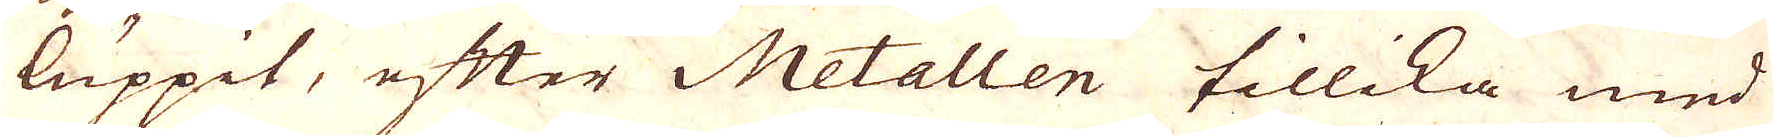luppit, efter Metallen tillika med
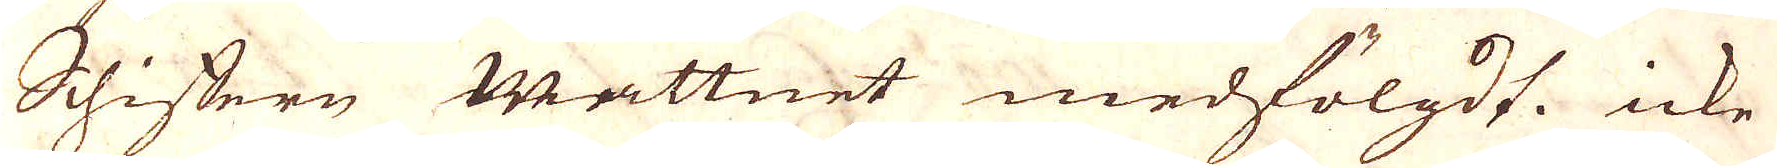Schiffern wattnet medfölgdt. icke
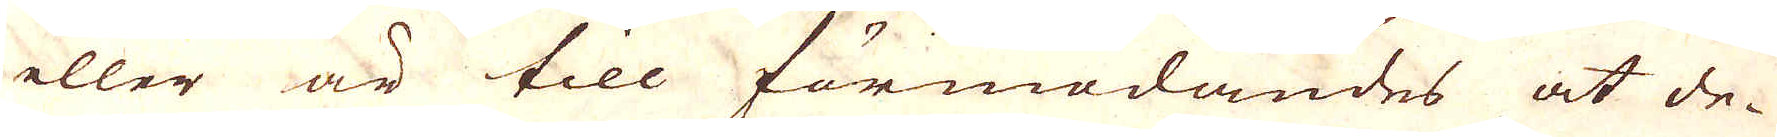eller är till förmodandes at de-
